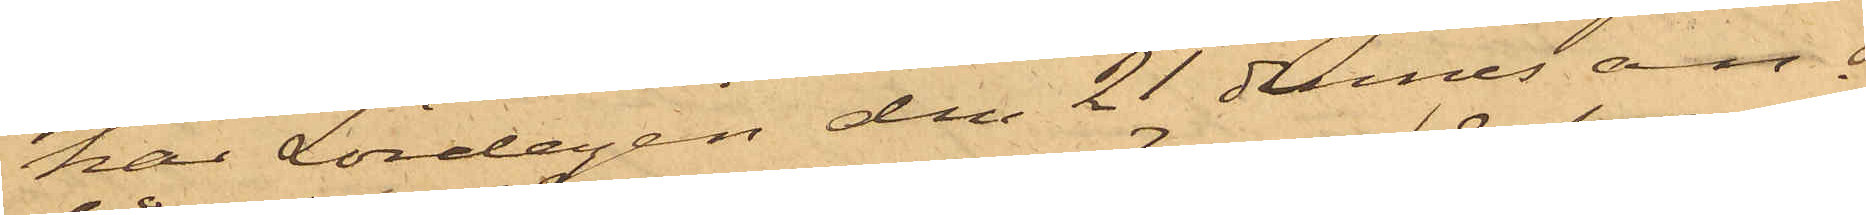har Lördagen den 21 dennes an¬
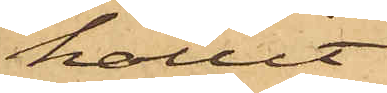hållit
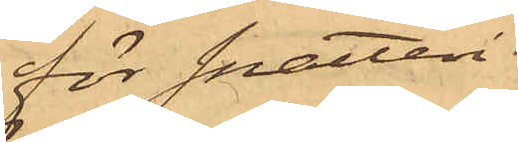för snatteri
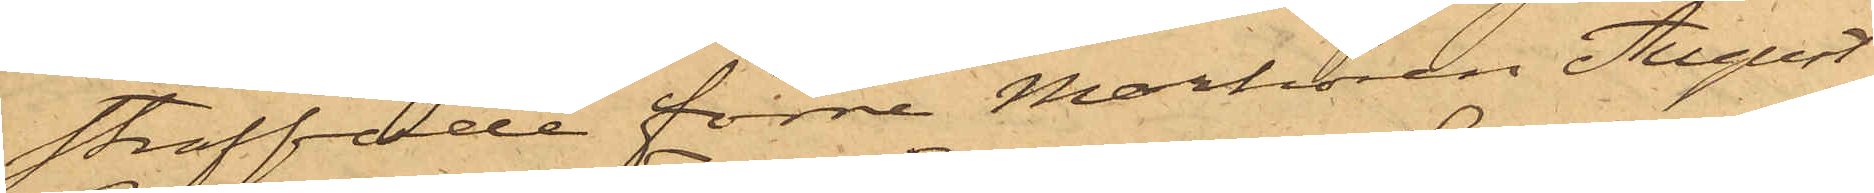straffade förre Markören August
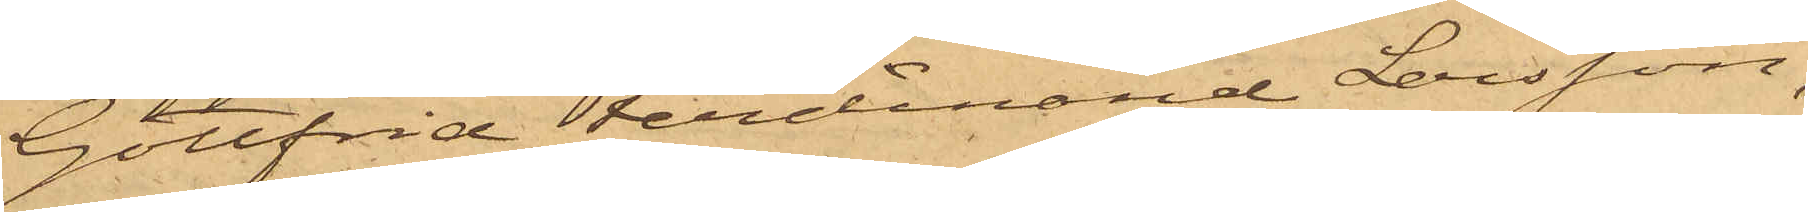Gottfrid Ferdinand Larsson,
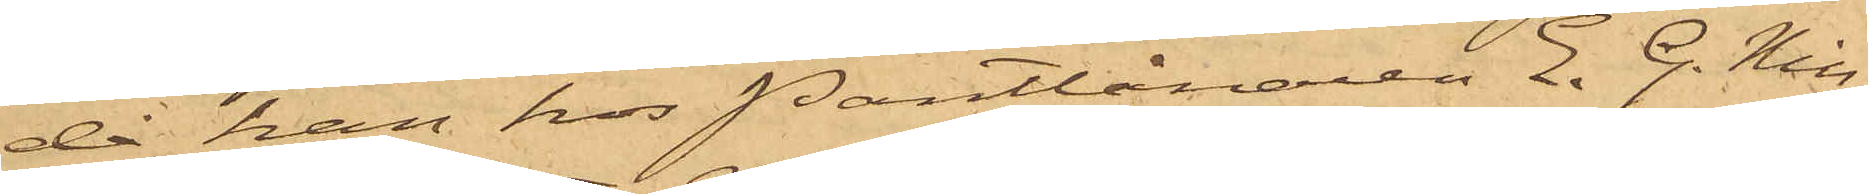då han hos Pantlånaren E. G. Nils¬
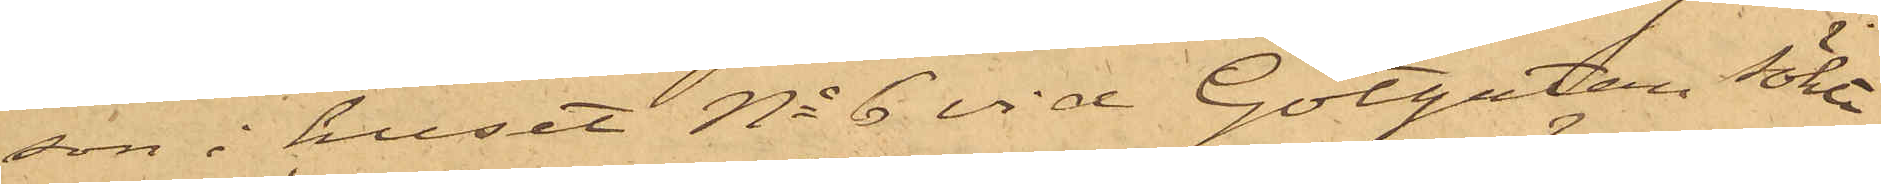son i huset No 6 vid Götgatan sökt
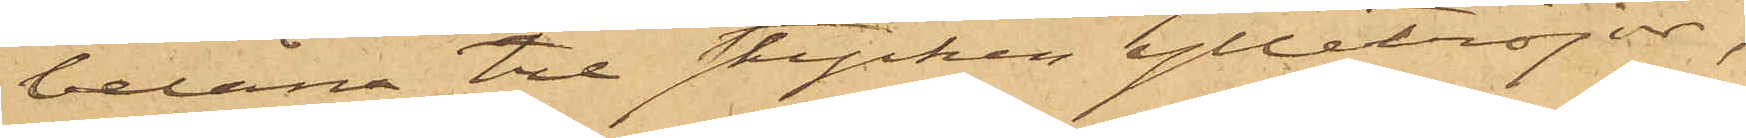belåna tre stycken ylletröjor,
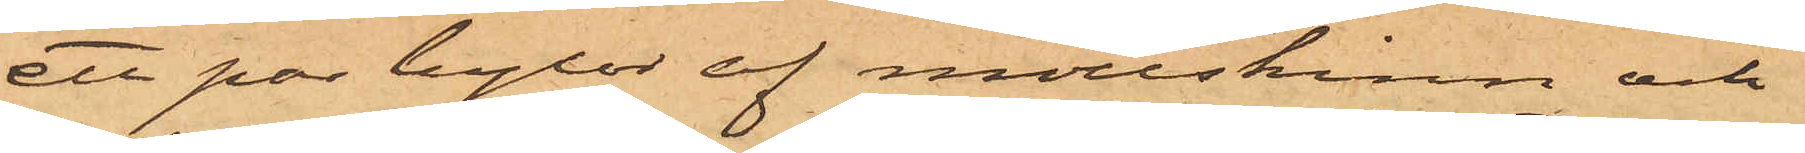ett par byxor af mollskinn och
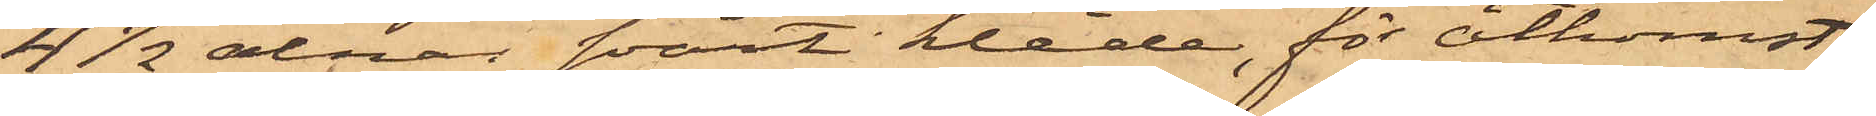4 1/2 alnar svart kläde, för åtkomst
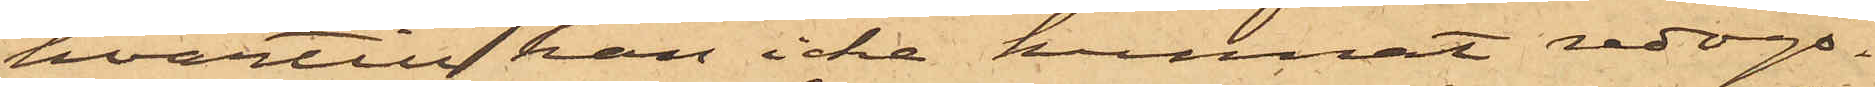hvartill han icke kunnat redogö¬
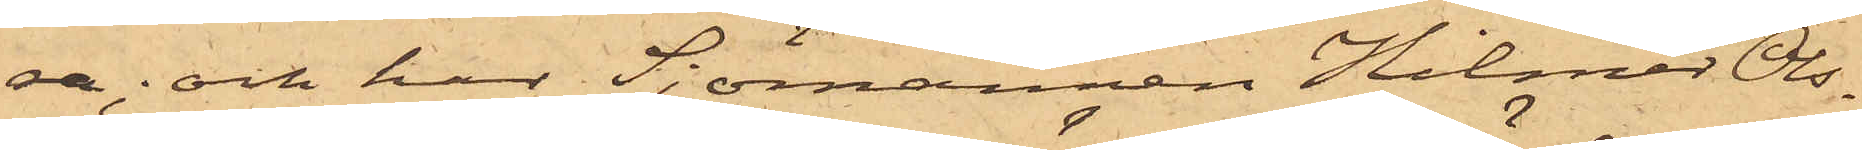ra; och har Sjömannen Hilmer Ols¬
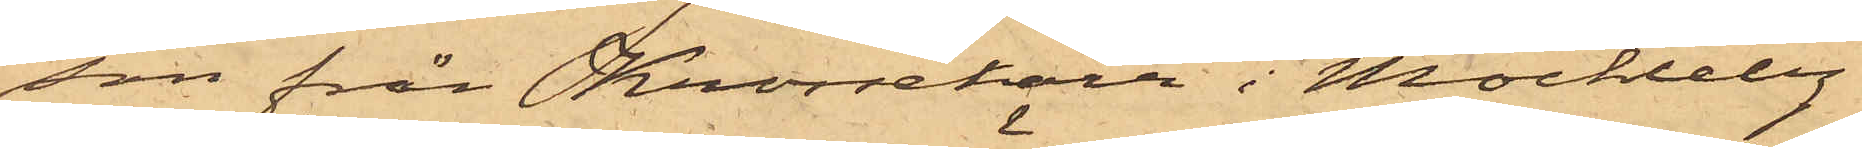son från Knorrekärr i Möckleby
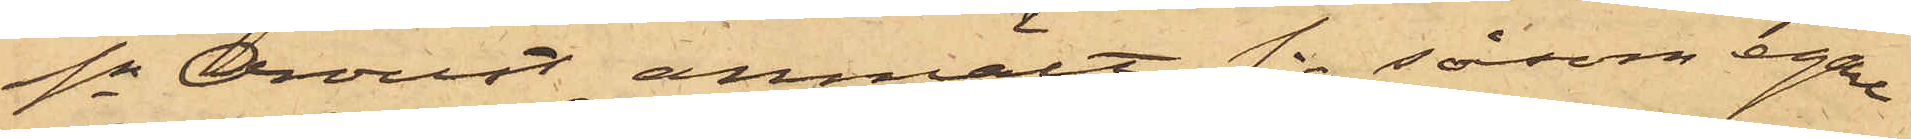Sn Oroust anmält sig såsom egare
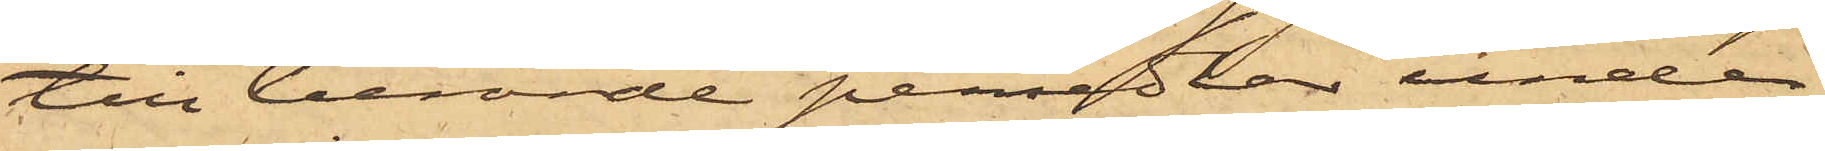till berörde persedlar under
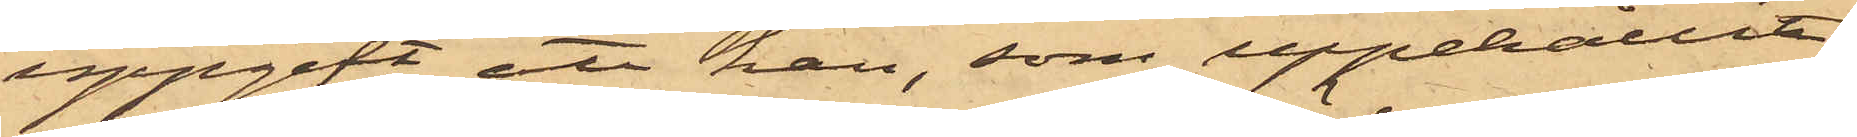uppgift att han, som uppehållit
